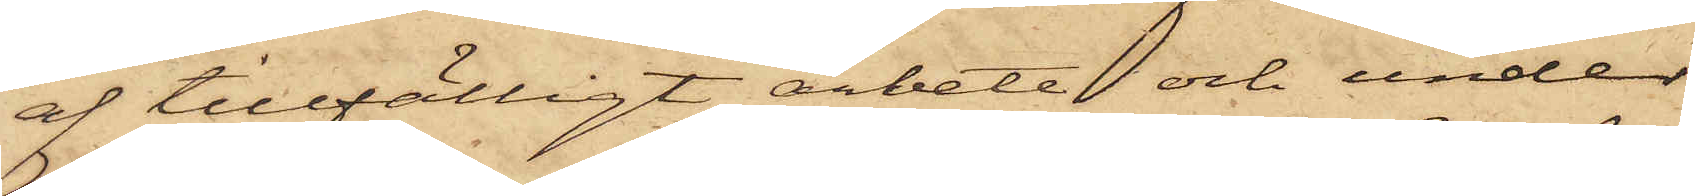af tillfälligt arbete och under
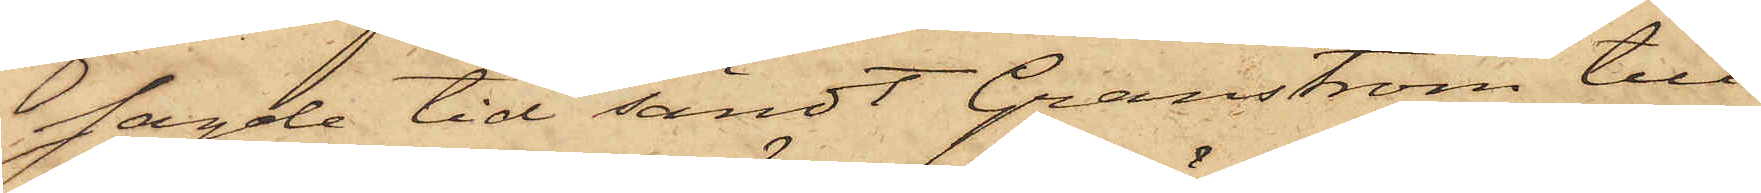sagde tid sändt Granström till
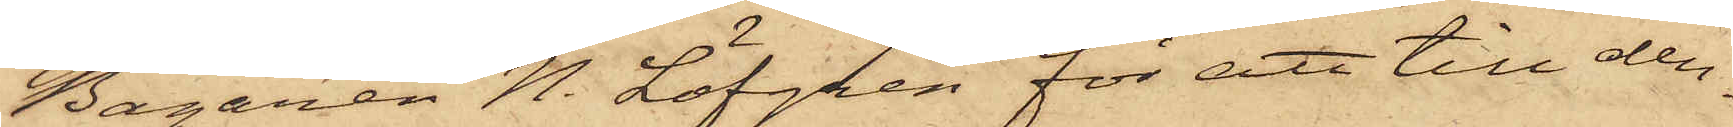Bagaren N. Löfgren för att till den¬
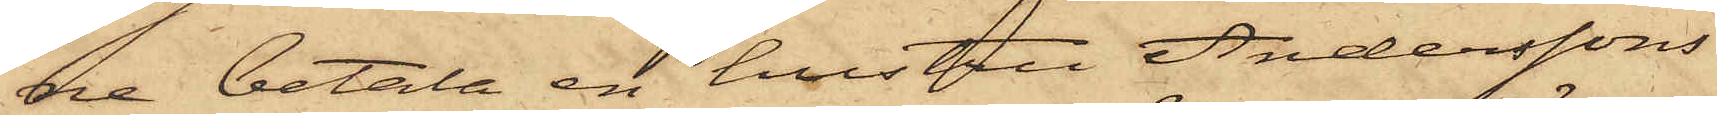ne betala en hustru Anderssons
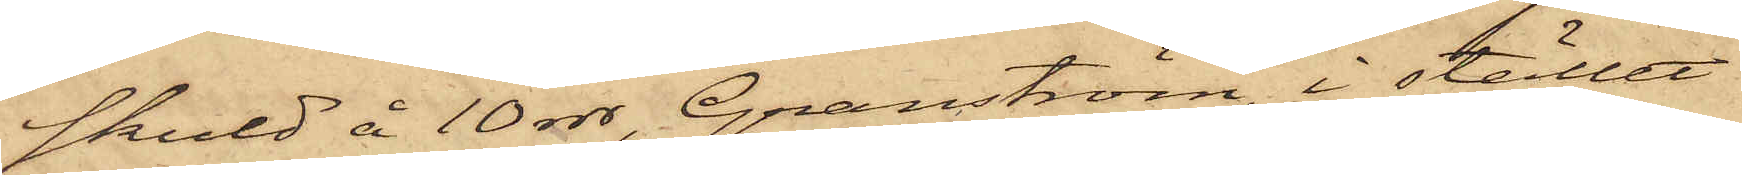skuld å 10 rdr, Granström, i stället
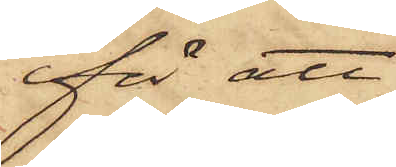för att
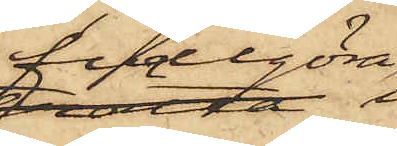fullgöra
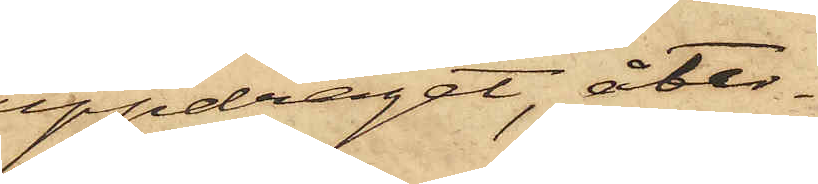uppdraget, åter¬
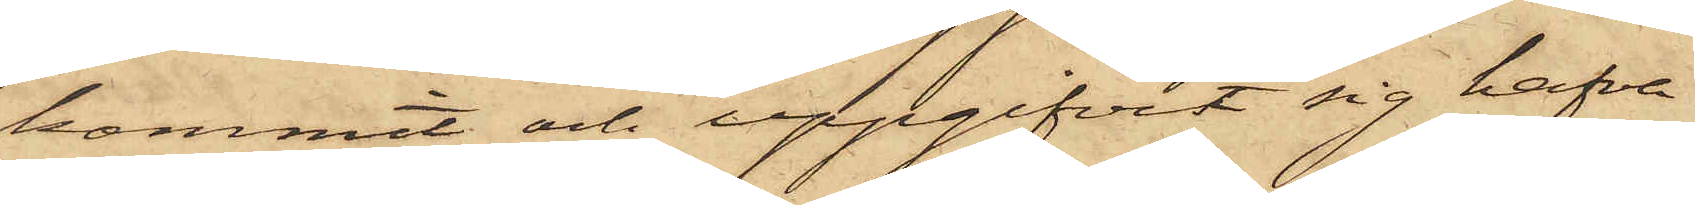kommit och uppgifvit sig hafva
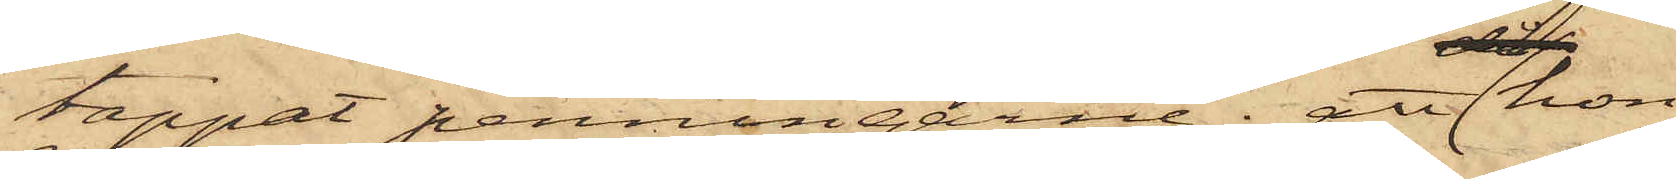tappat penningarne; att hon
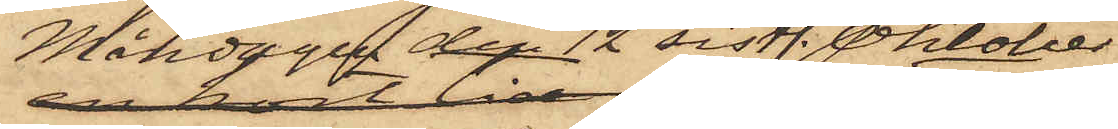Måndagen den 12 sistl. Oktober
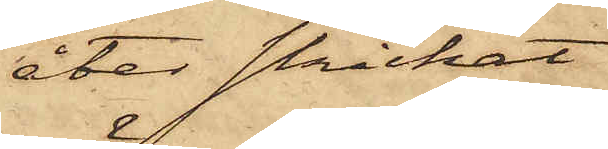åter skickat
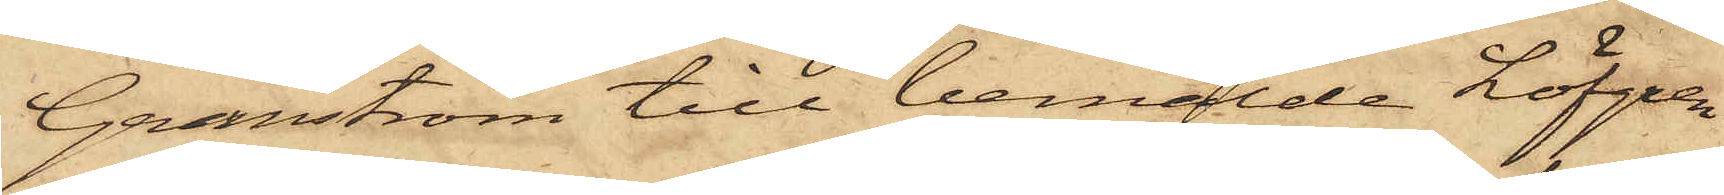Granström till bemälde Löfgren
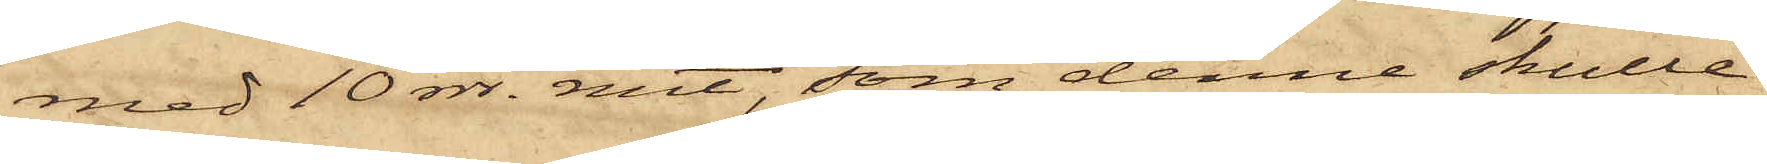med 10 rdr. rmt, som denne skulle
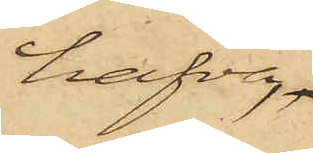hafva
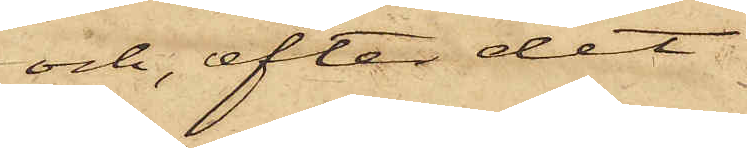och, efter det
